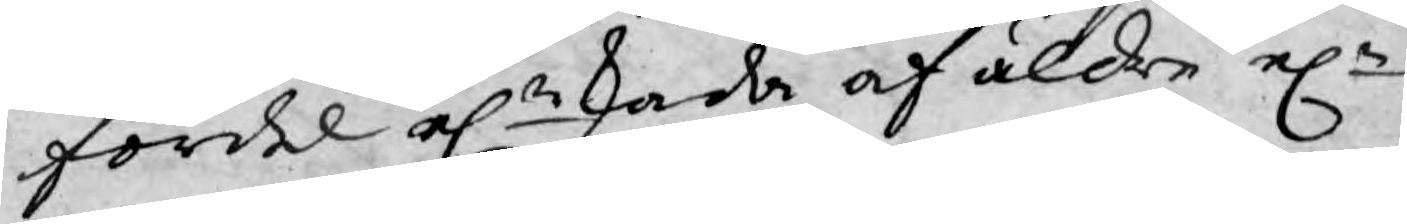fördel elr skada af äldre elr
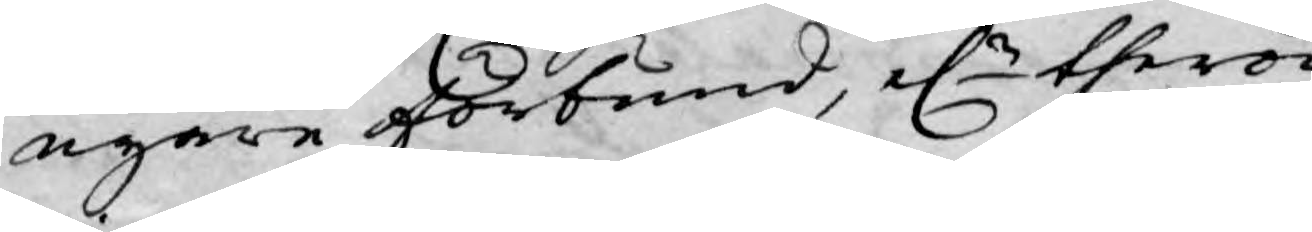nyare förbund, el.r therom
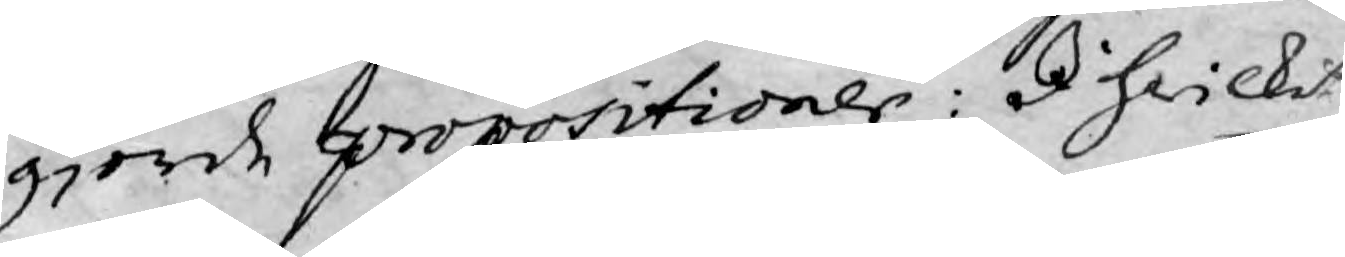gjorde propositioner: I hwilket
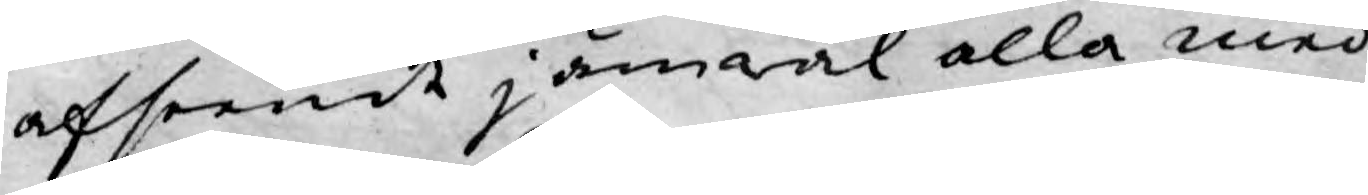afseende jämwäl alla med
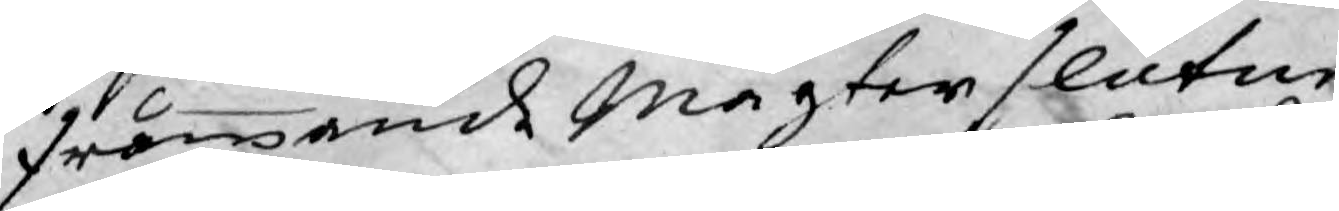främmande Magter slutne
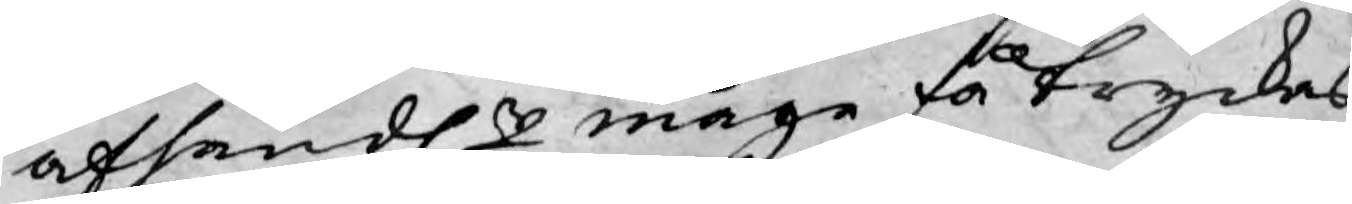afhandle måge få tryckas,
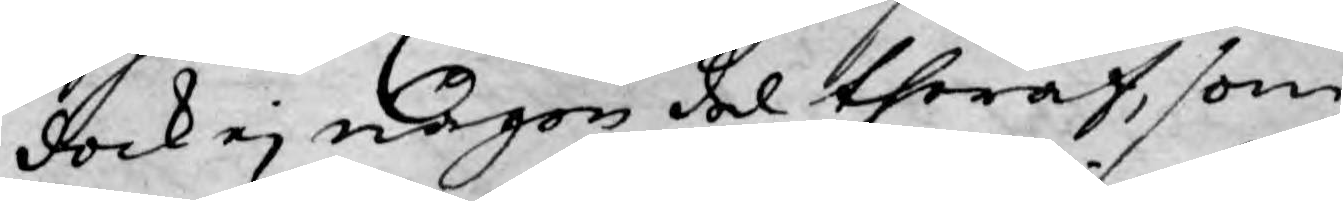dock ej någon del theraf, som
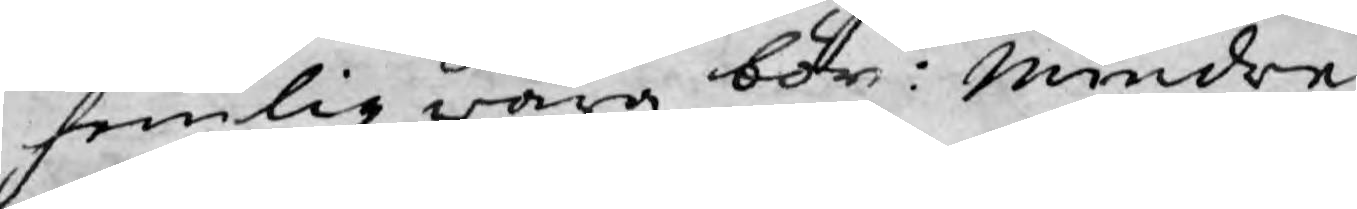hemlig wara bör: Mindre
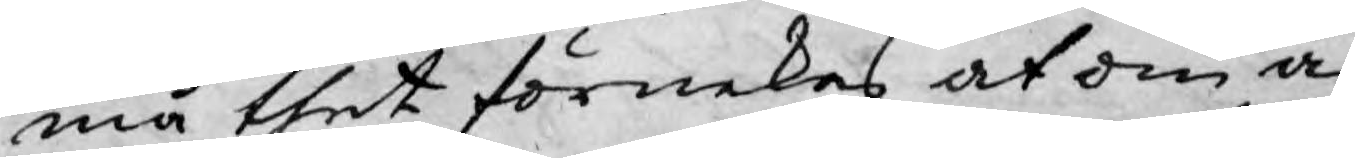må thet förnekas at om an¬
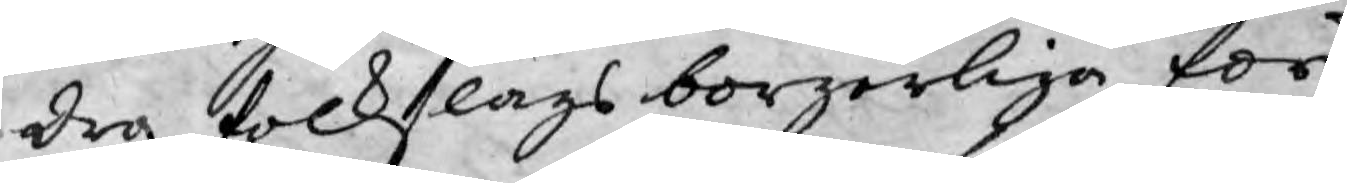dra folkslags borgerliga för¬
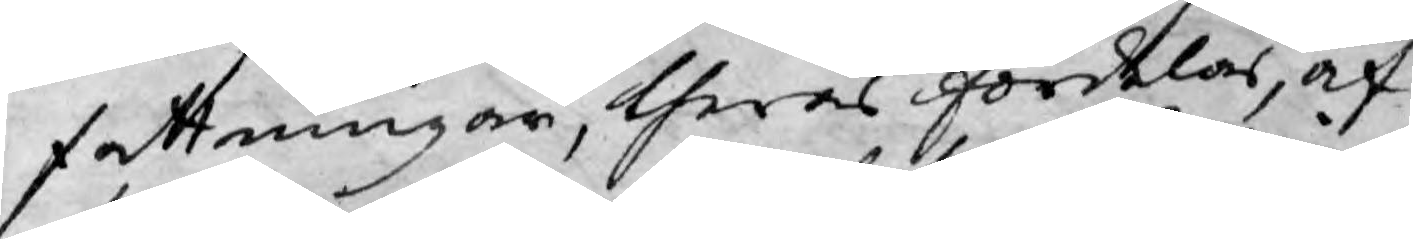fattningar, theras fördelas, af¬
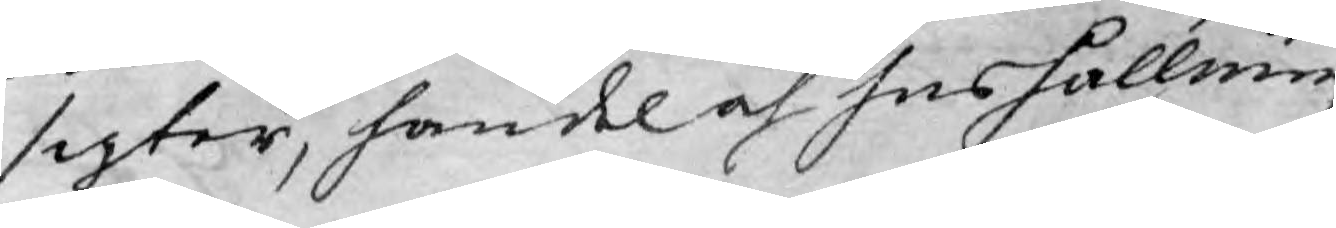sigter, handel och hushållning
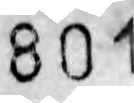801
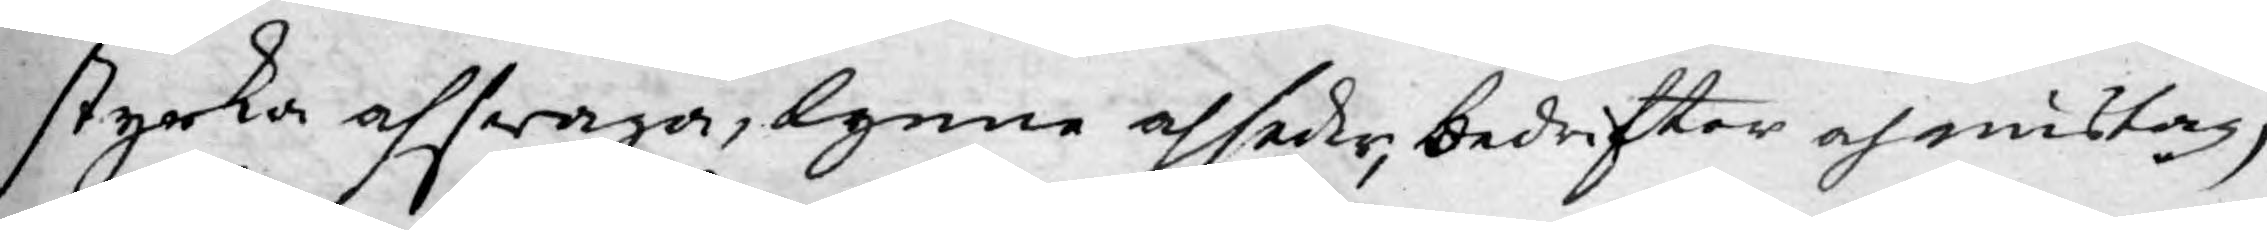styrka och swaga, kynne och seder, bedrifter och mistag,
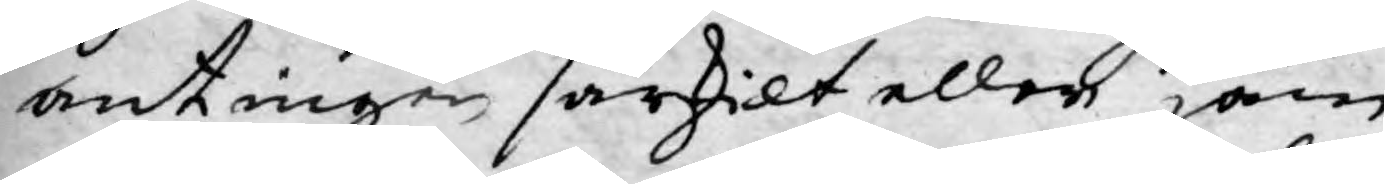antingen särskilt eller jäm¬
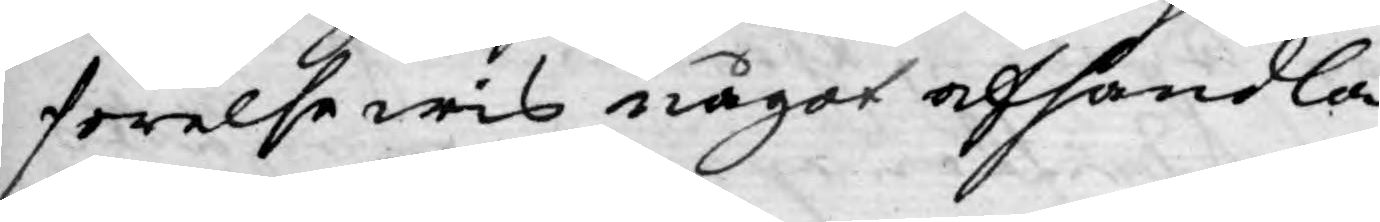förelse wis något afhandla
